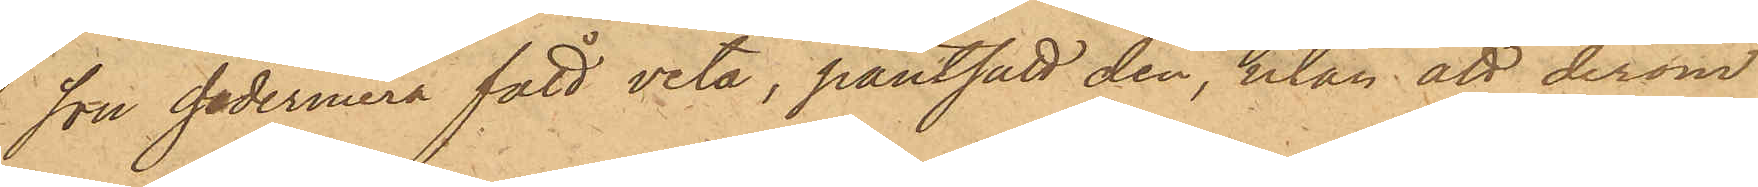son sedermera fått veta, pantsatt den, utan att derom
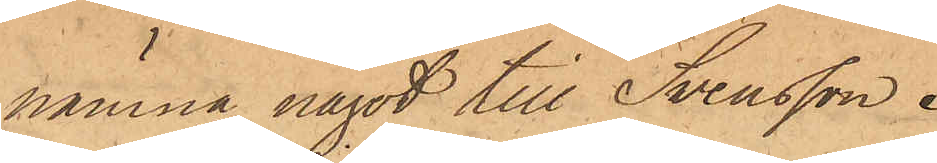nämna något till Svensson.
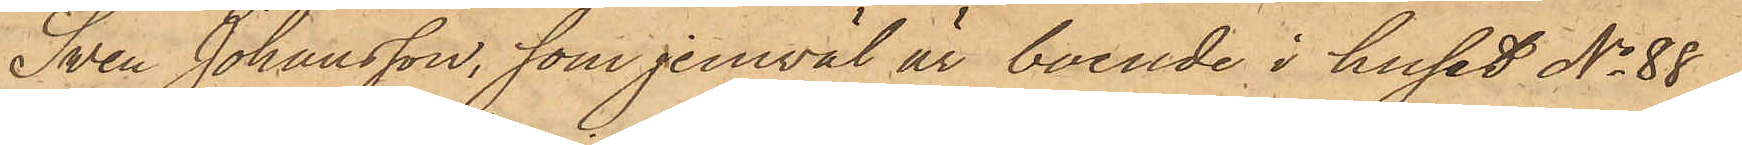Sven Johansson, som jemväl är boende i huset No 88
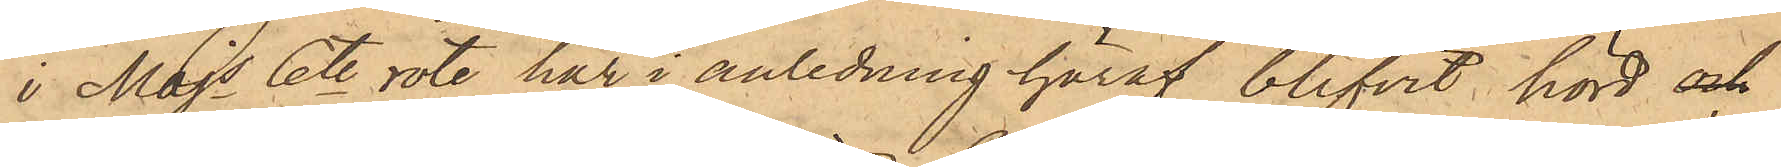i Majs 6te rote, har i anledning häraf blifvit hörd och
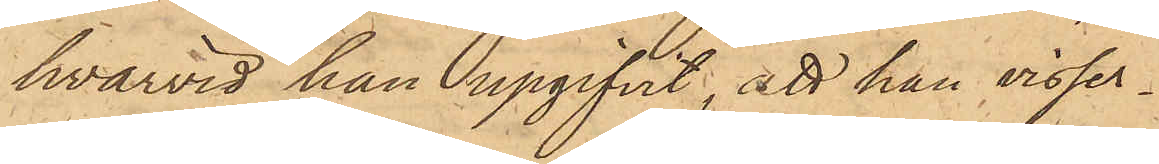hvarvid han upgifvit, att han visser¬
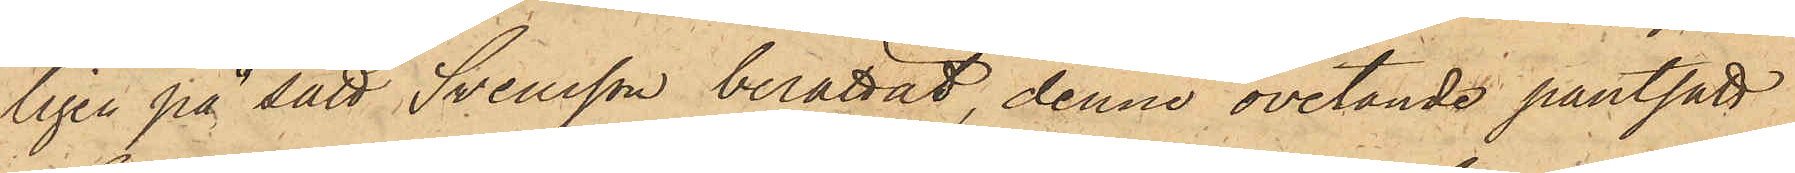ligen på sätt Svensson berättat, denne ovetande pantsatt
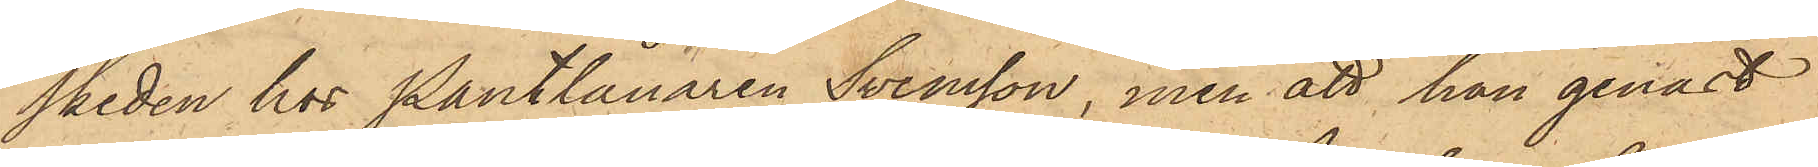skeden hos Pantlånaren Svensson, men att han genast
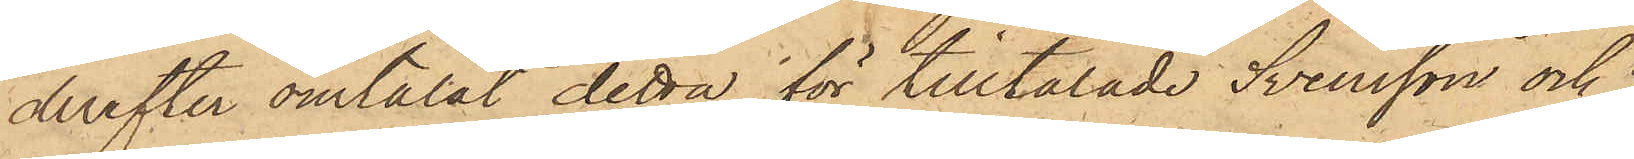derefter omtalat detta för tilltalade Svensson och
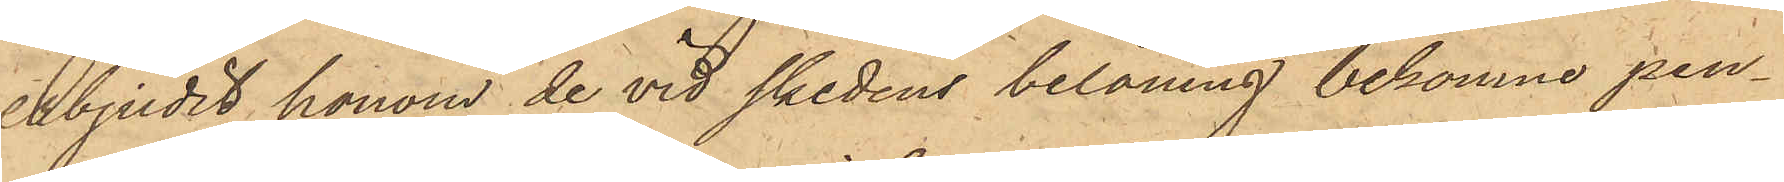erbjudit honom de vid skedens belåning bekomne pen¬
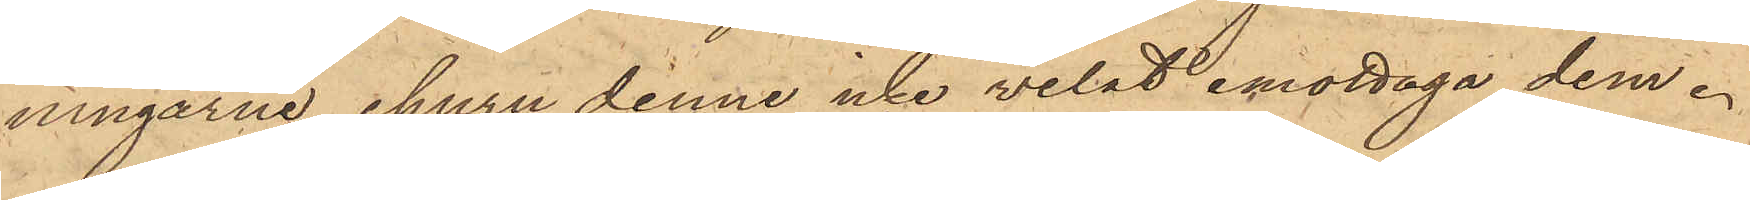ningarne, ehuru denne icke velat emottaga dem.
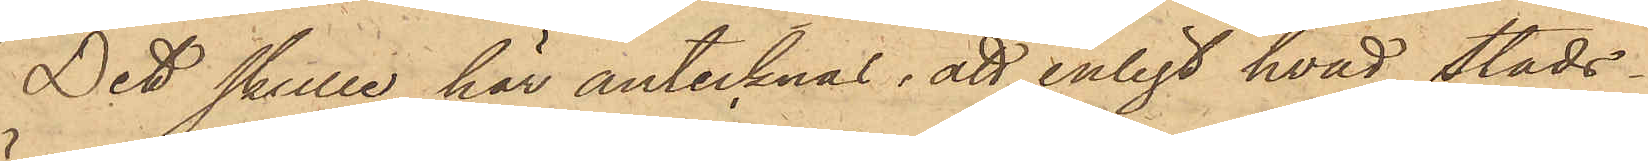Det skulle här antecknas, att enligt hvad Stads¬
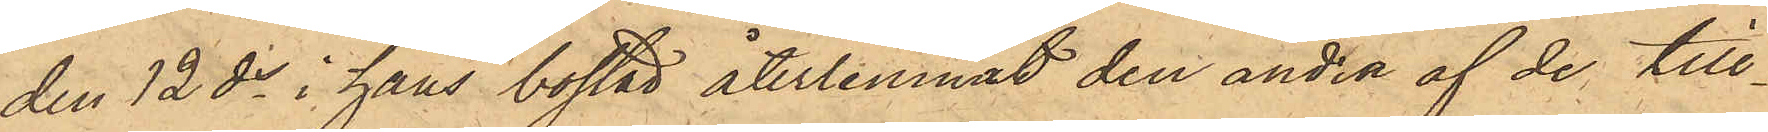den 12 ds i hans bostad återlemnat den andra af de till¬
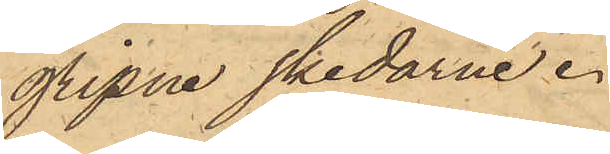gripne skedarne.
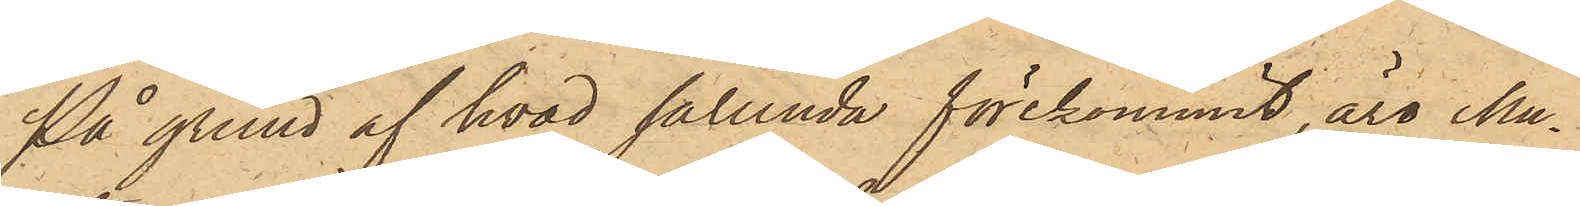På grund af hvad sålunda förekommit, äro Mu¬
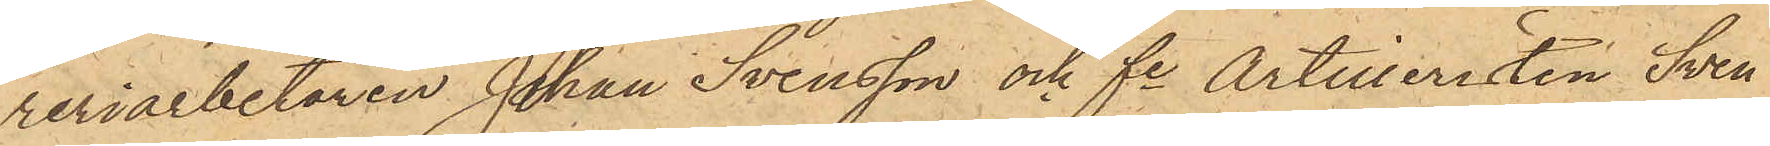reriarbetaren Johan Svensson och fe Artilleristen Sven
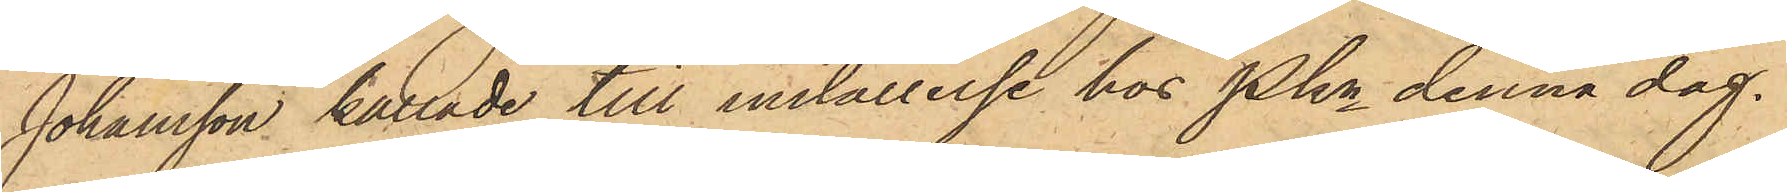Johansson kallade till inställelse hos Pkn denna dag.
